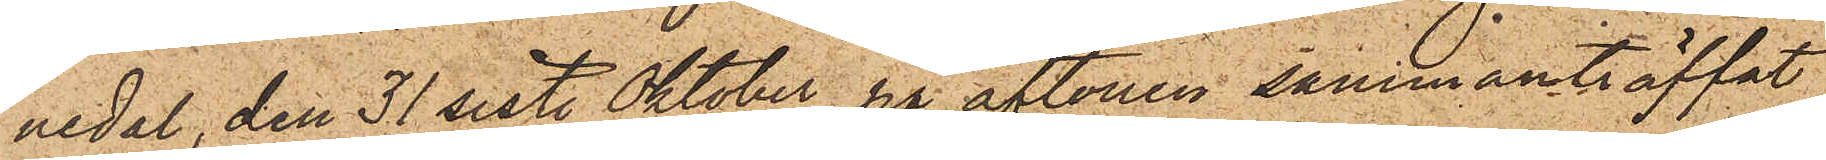nedal, den 31 sist. Oktober på aftonen sammanträffat
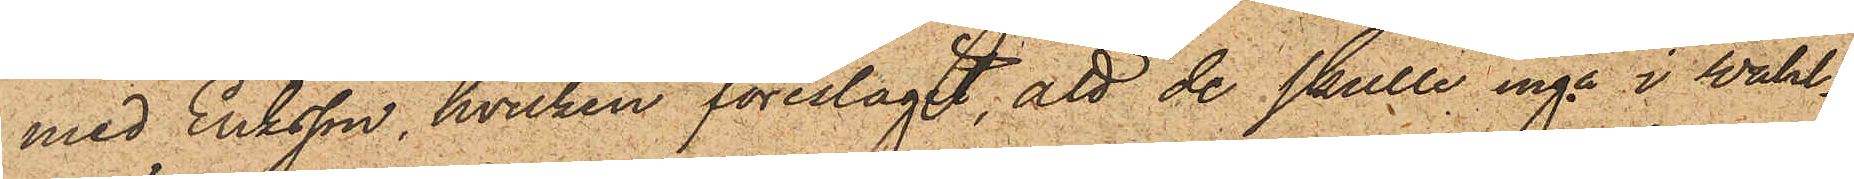med Eriksson, hvilken föreslagit, att de skulle ingå i Wahl¬
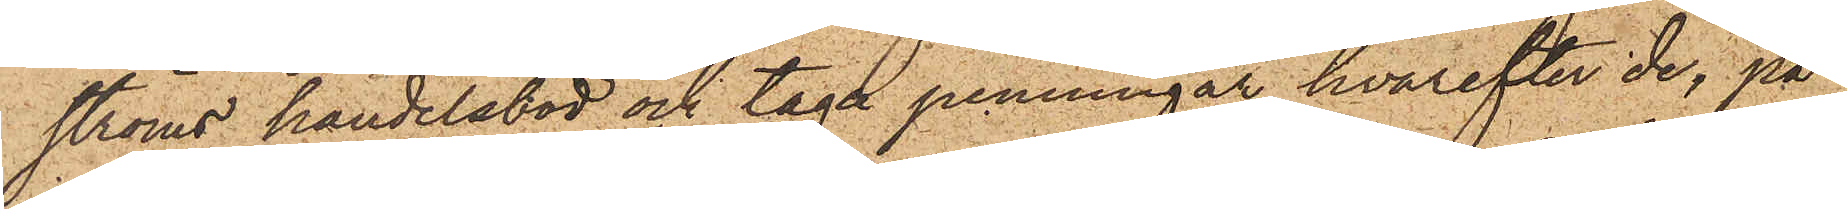ströms handelsbod och taga penningar, hvarefter de, på
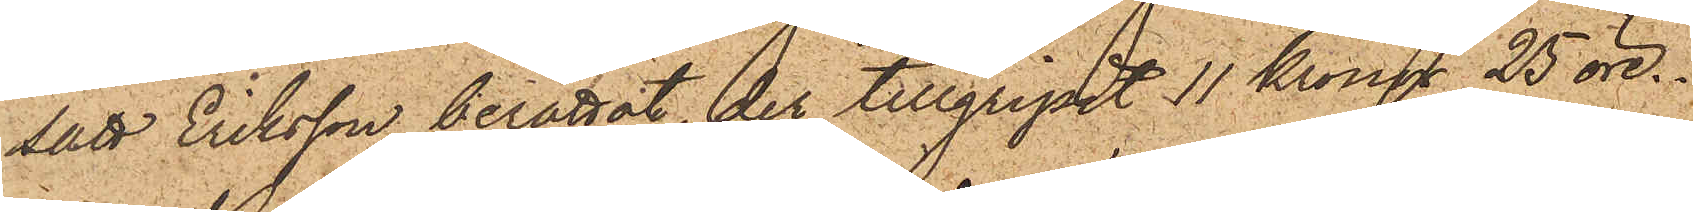sätt Eriksson berättat, der tillgripit 11 Kronor 25 öre.
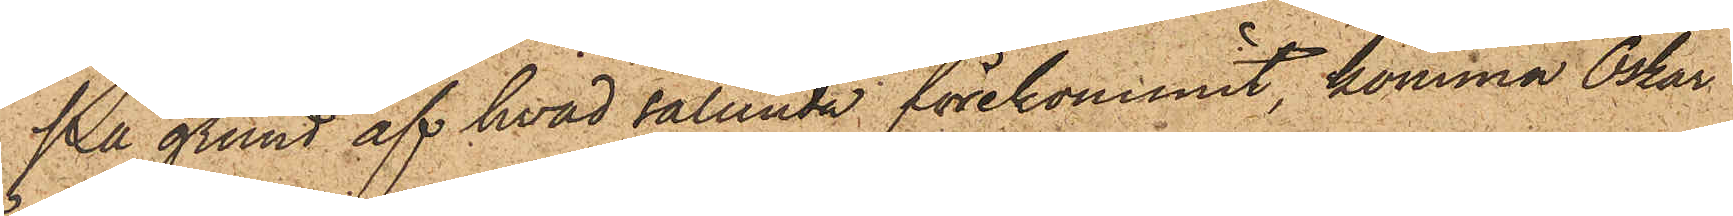På grund af hvad sålunda förekommit, komma Oskar
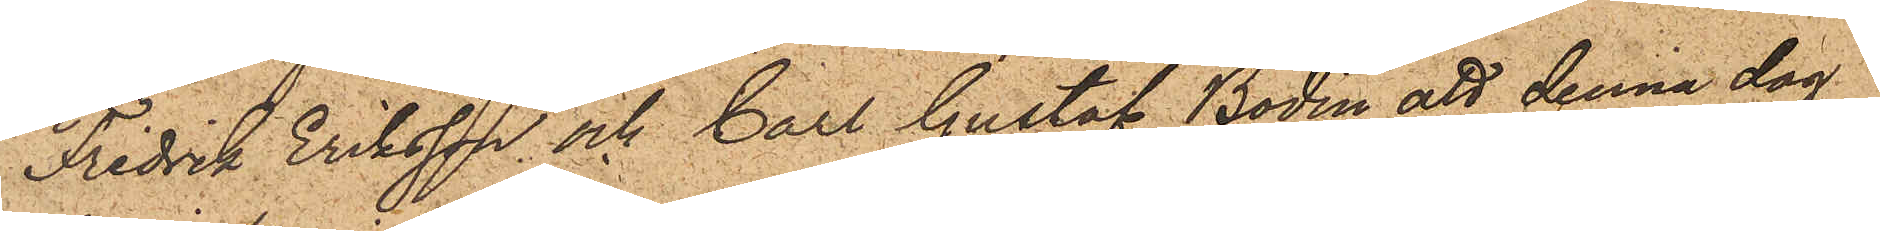Fredrik Eriksson och Carl Gustaf Bodin att denna dag
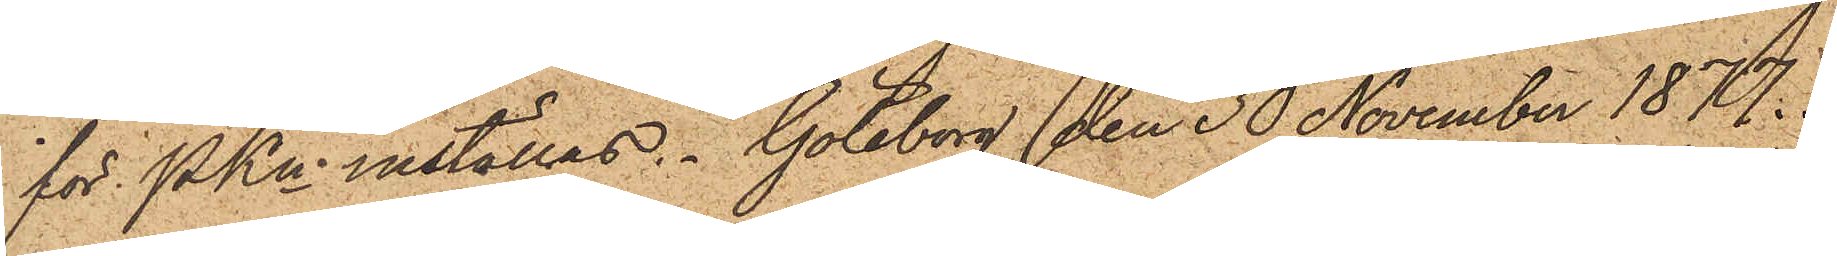för PKn inställas. Göteborg den 30 November 1877.
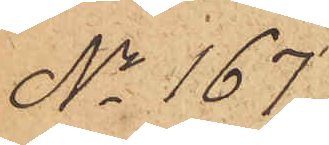No 167.
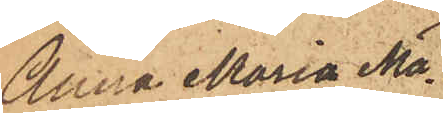Anna Maria Ma¬
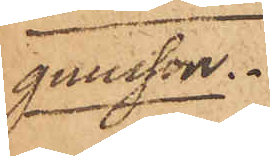gnusson.
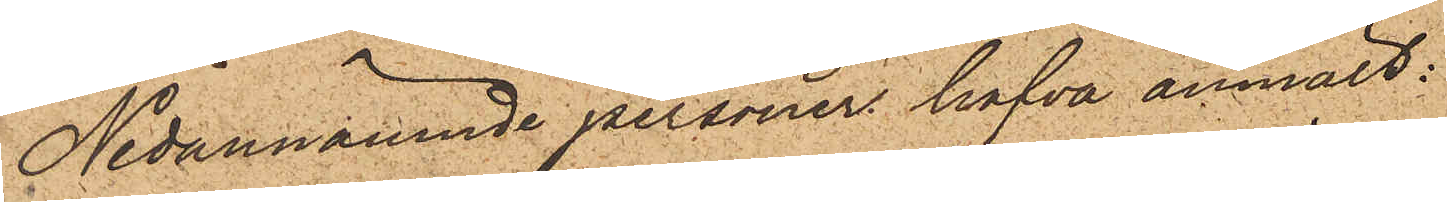Nedannämnde personer hafva anmält:
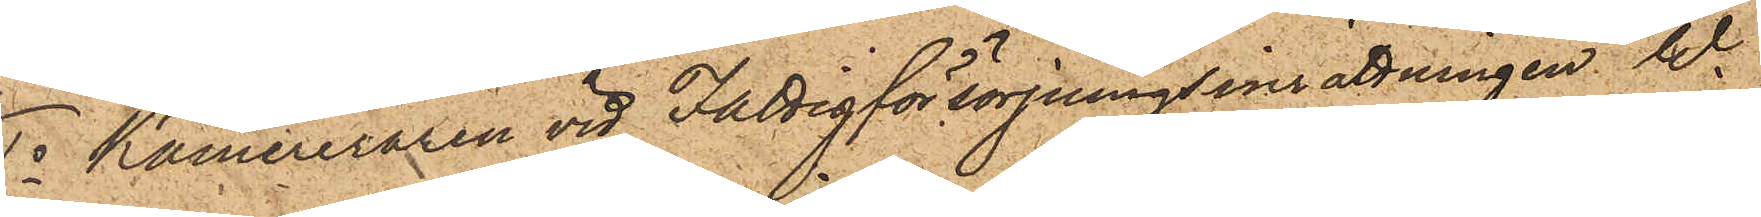1o Kamereraren vid Fattigförsörjningsinrättningen W.
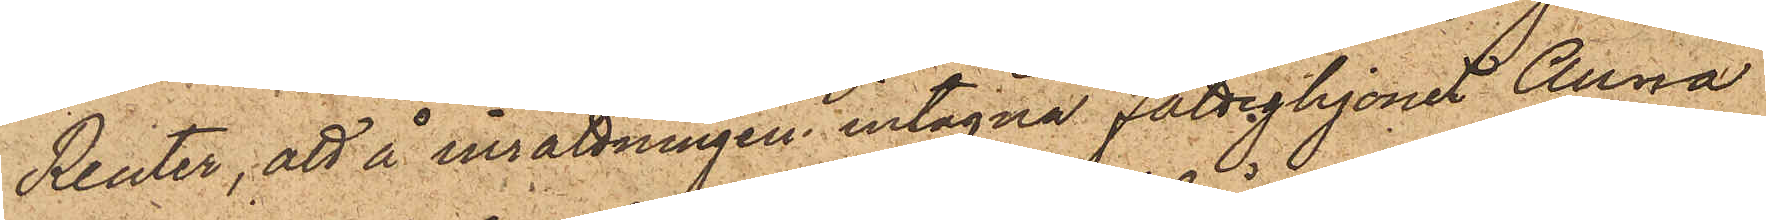Reuter, att å insättningen intagna fattighjonet Anna
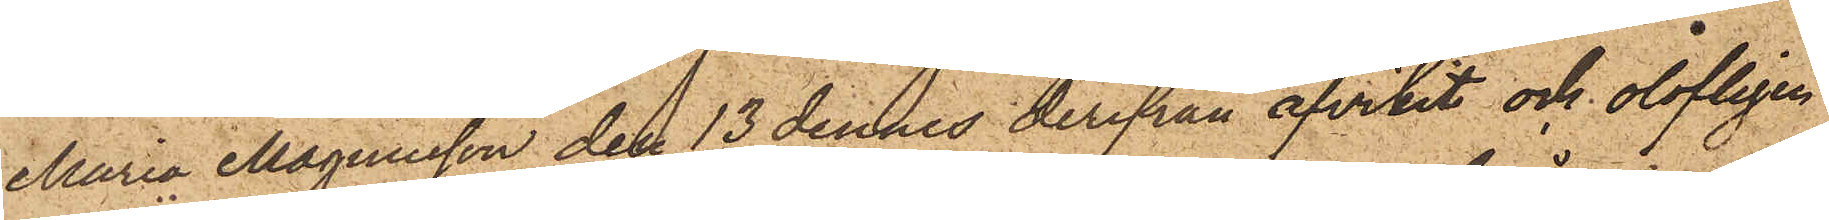Maria Magnusson den 13 dennes derifrån afvikit och olofligen
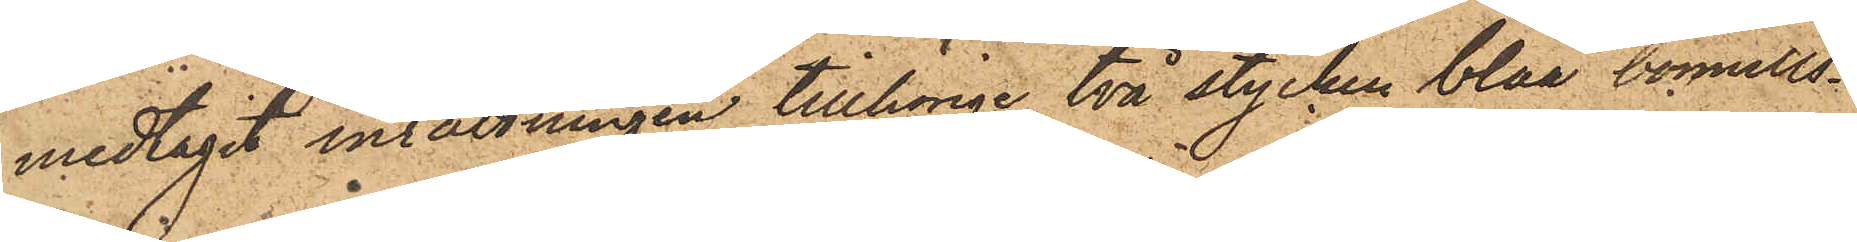medtagit inrättningen tillhörige två stycken blåa bomulls¬
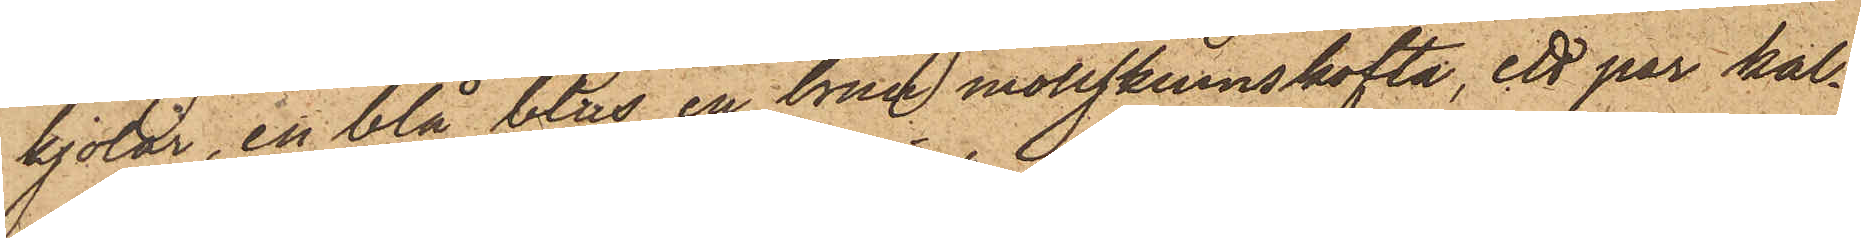kjolar, en blå blus, en brun mollskinnskofta, ett par kal¬
